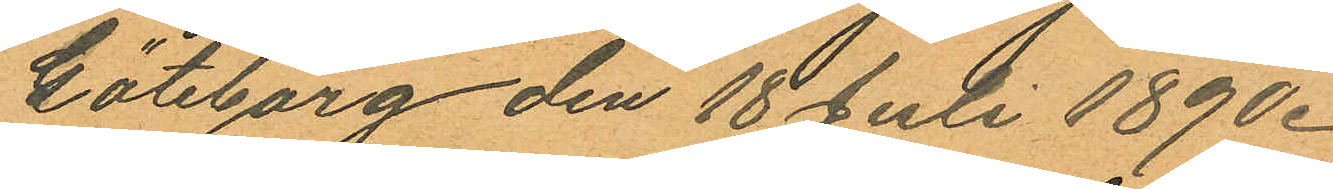Göteborg den 18 Juli 1890.
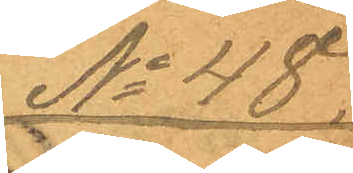No 48.
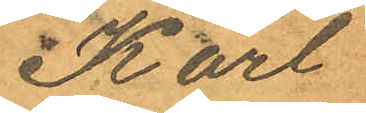Karl
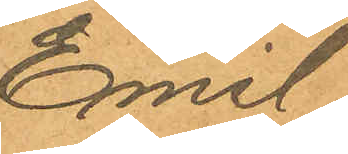Emil
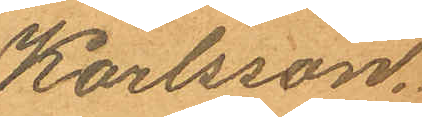Karlsson.
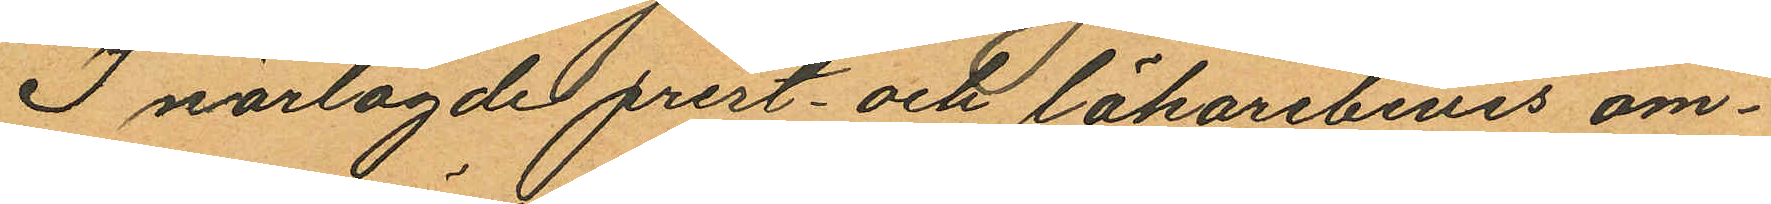I närlagde prest- och läkarebevis om¬
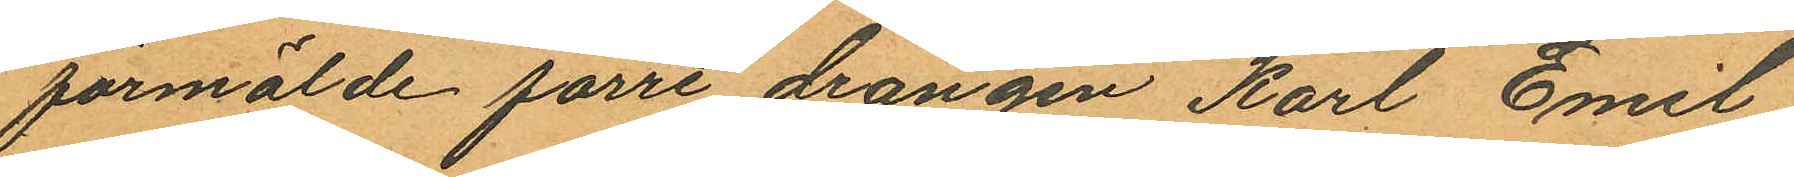förmälde förre drängen Karl Emil
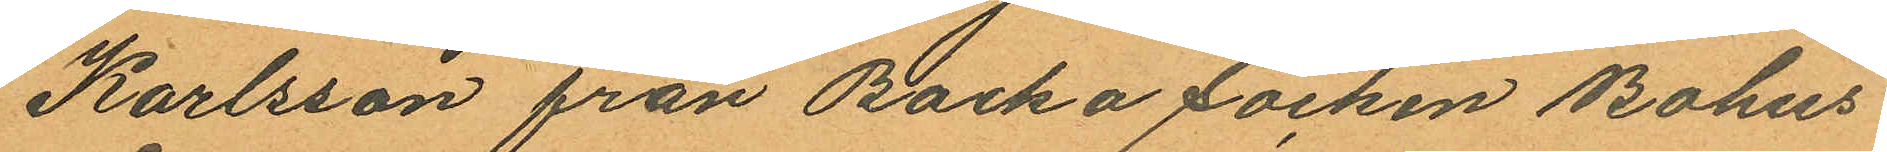Karlsson från Backa socken Bohus
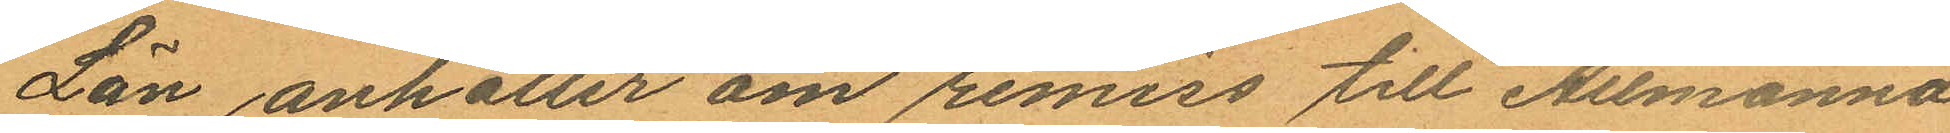Län anhåller om remiss till Allmänna
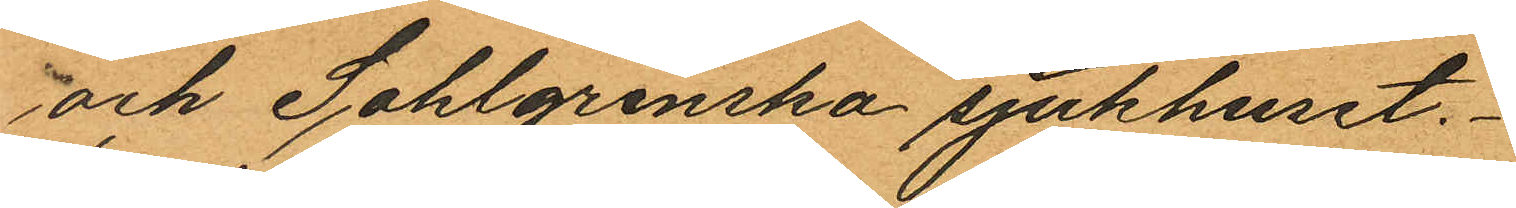och Sahlgrenska sjukhuset.
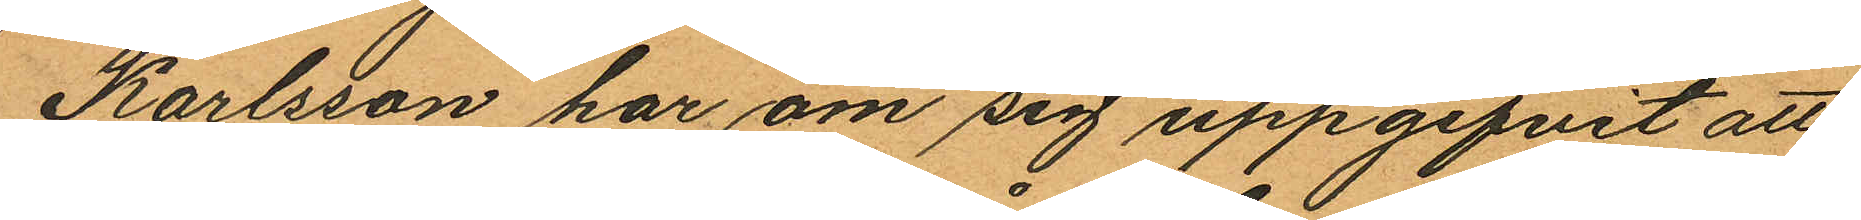Karlsson har om sig uppgifvit att
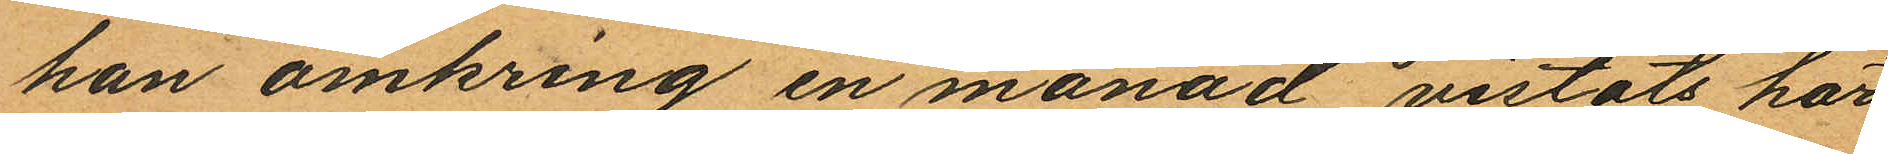han omkring en månad vistats här
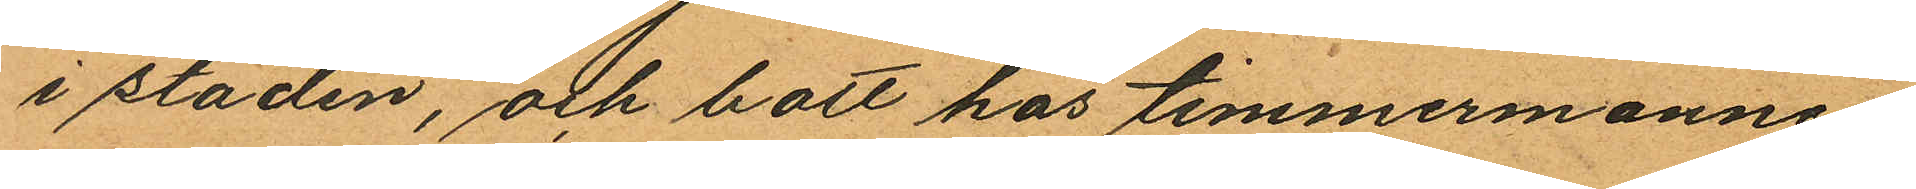i staden, och bott hos timmermannen
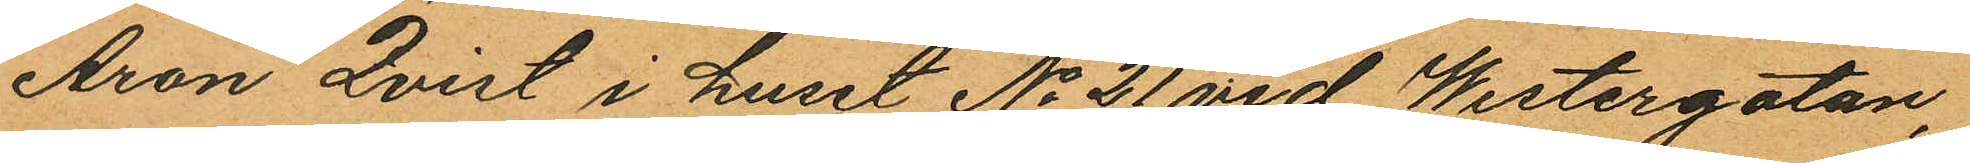Aron Qvist i huset No 21 vid Westergatan,
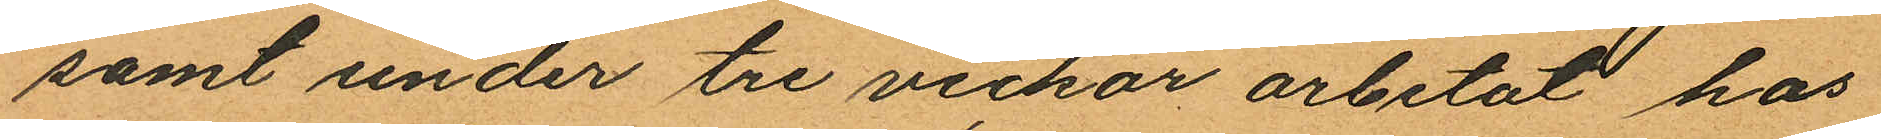samt under tre veckor arbetat hos
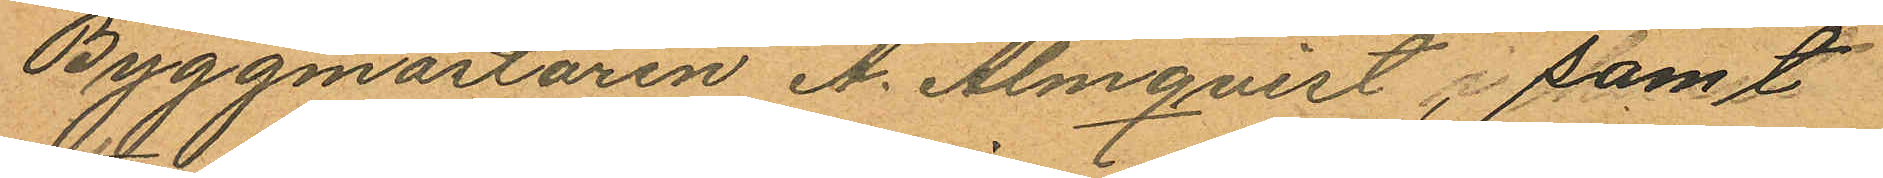Byggmästaren A. Almqvist, samt
